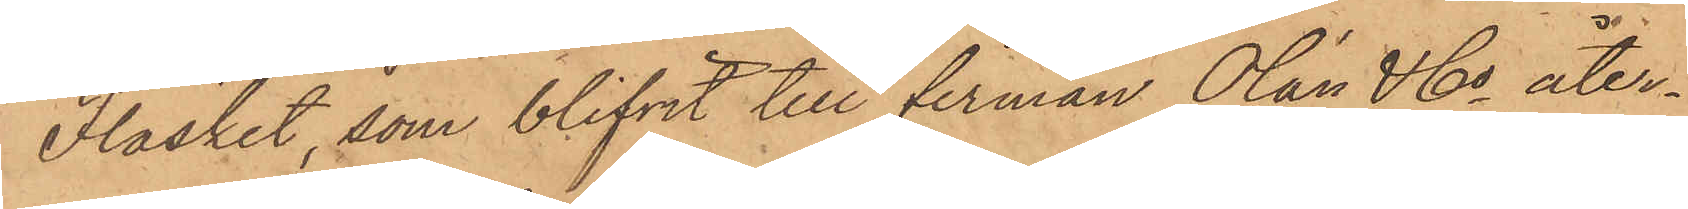Fläsket, som blifvit till firman Olán & Co åter¬
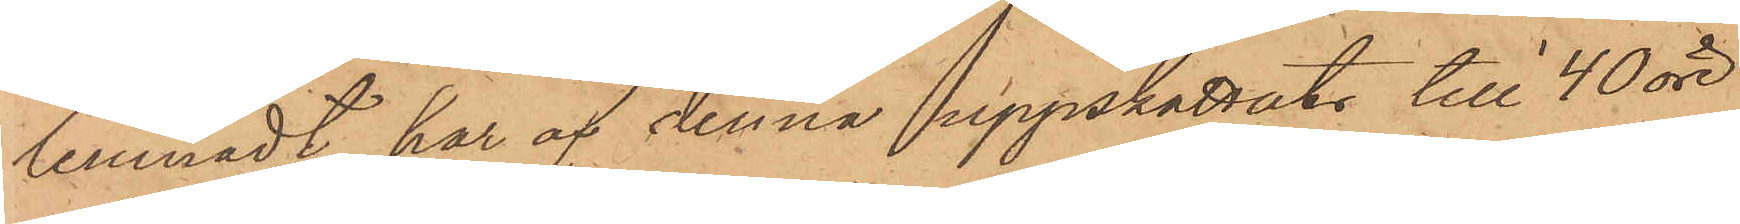lemnadt har af denna uppskattats till 40 öre,
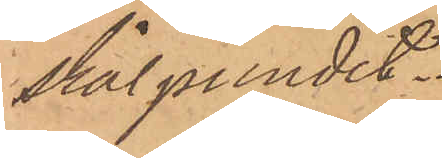skålpundet.
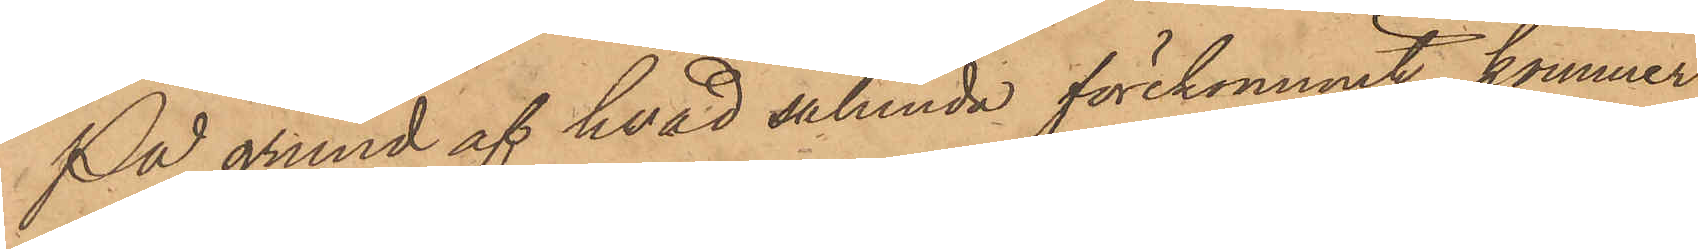På grund af hvad sålunda förekommit, kommer
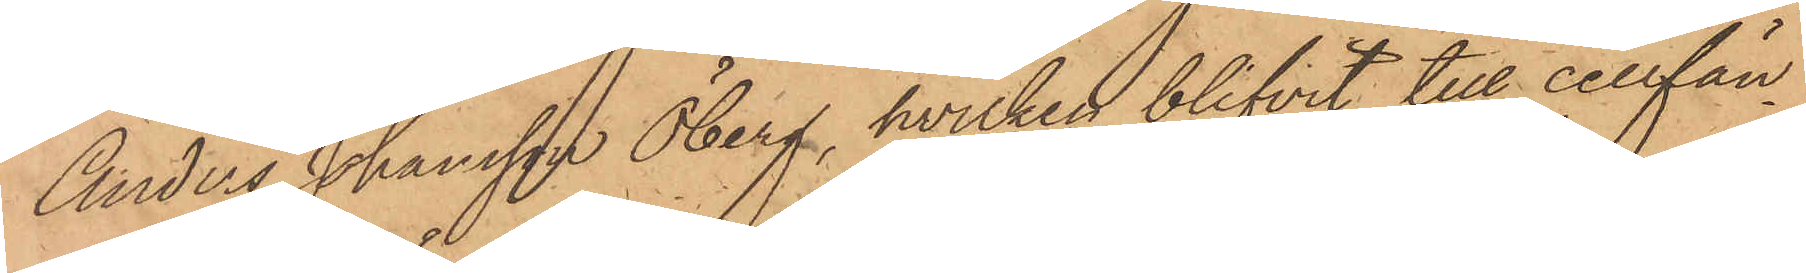Anders Johansson Öberg, hvilken blifvit till cellfän¬
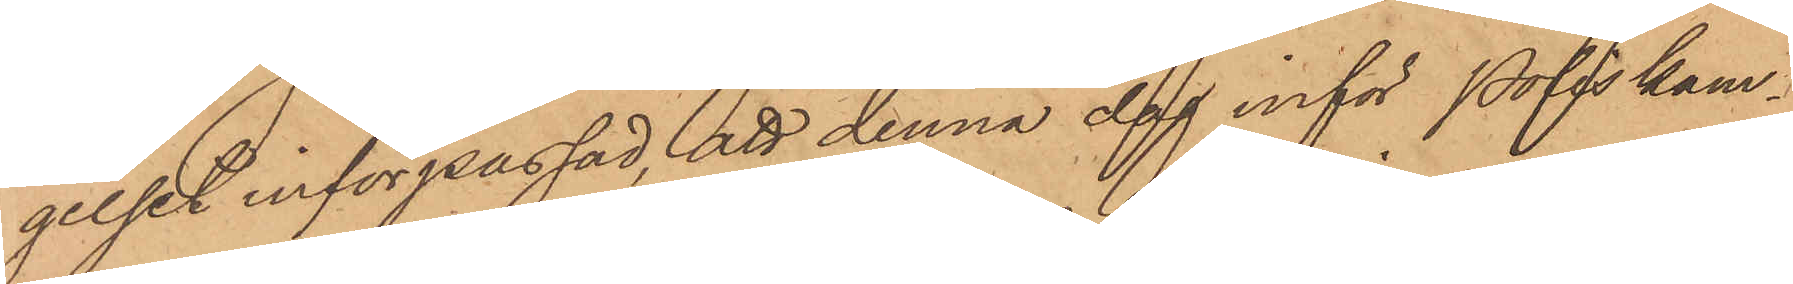gelset införpassad, att denna dag inför Poliskam¬
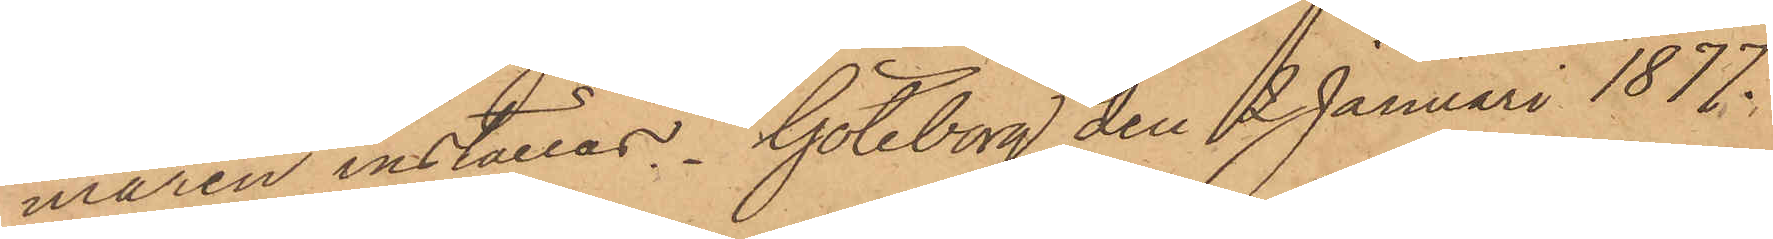maren inställas. Göteborg den 2 Januari 1877.
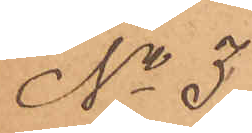No 3
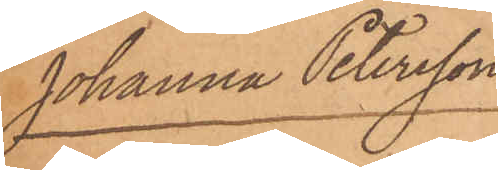Johanna Petersson
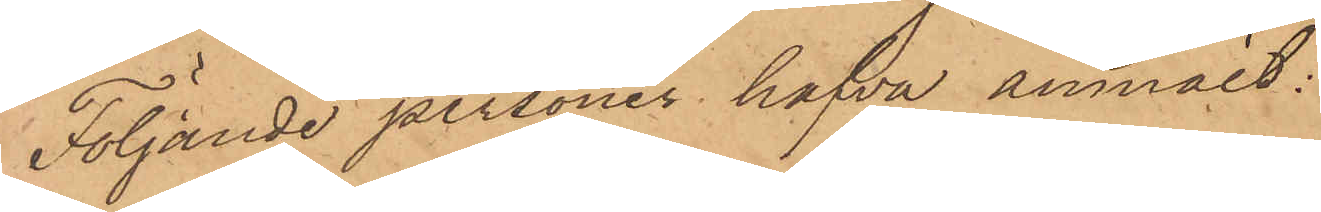Följande personer hafva anmält:
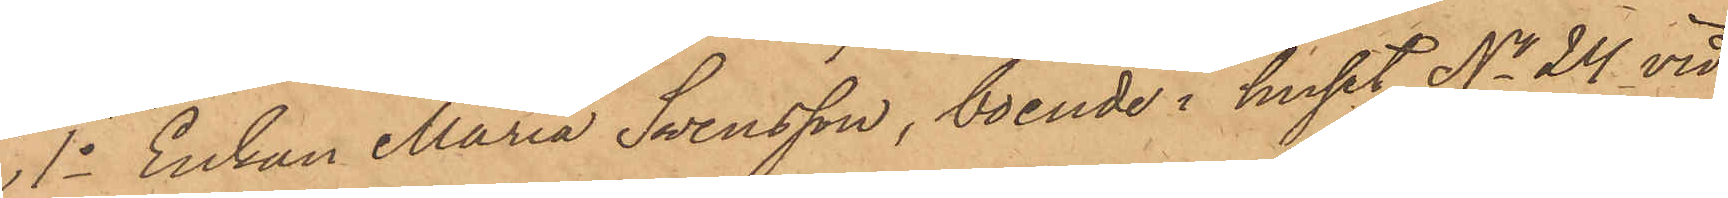1o Enkan Maria Svensson, boende i huset No 24 vid
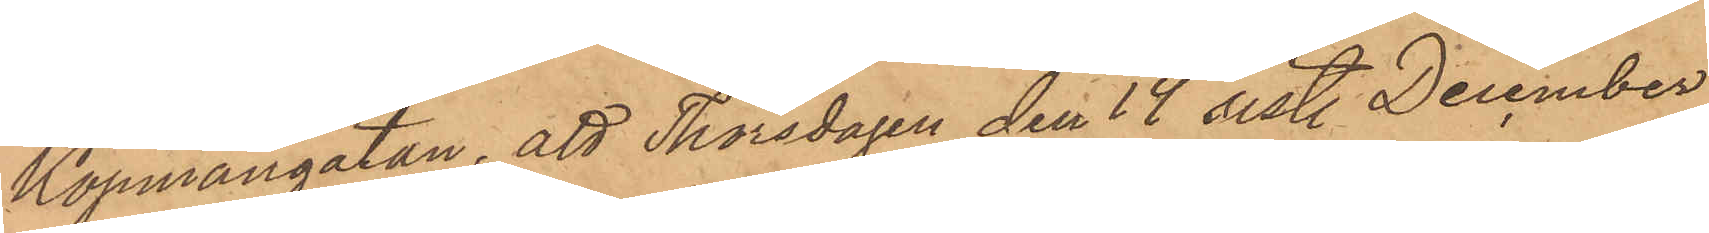Köpmangatan, att Thorsdagen den 14 sistl December
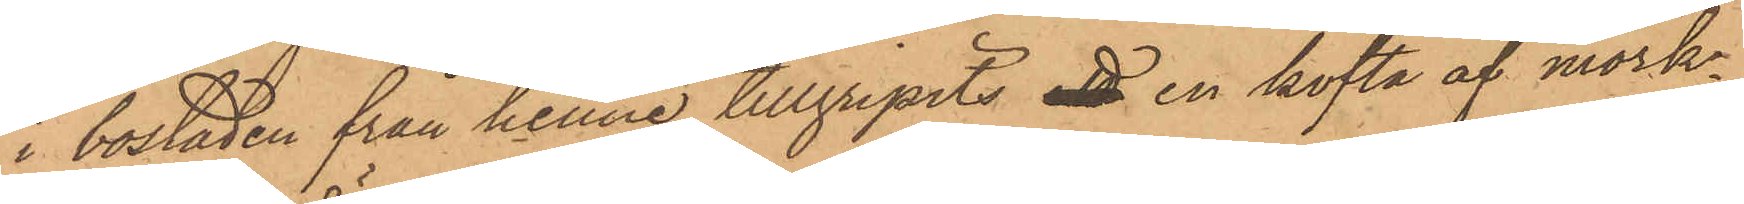i bostaden från henne tillgripits en kofta af mörk¬
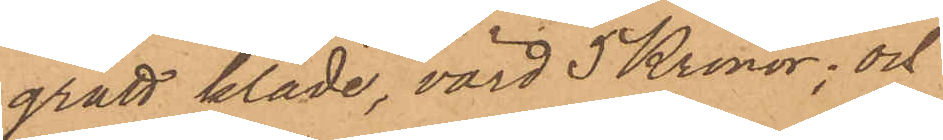grått kläde, värd 5 Kronor; och
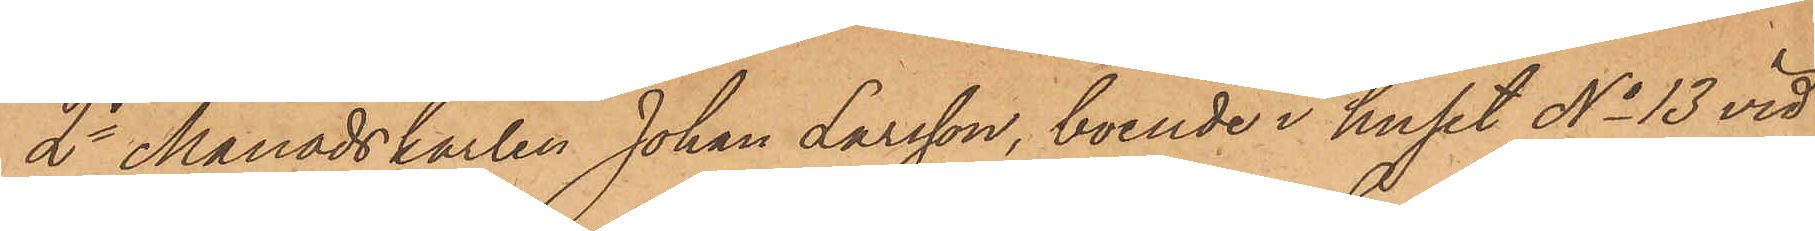2o Månadskarlen Johan Larsson, boende i huset No 13 vid
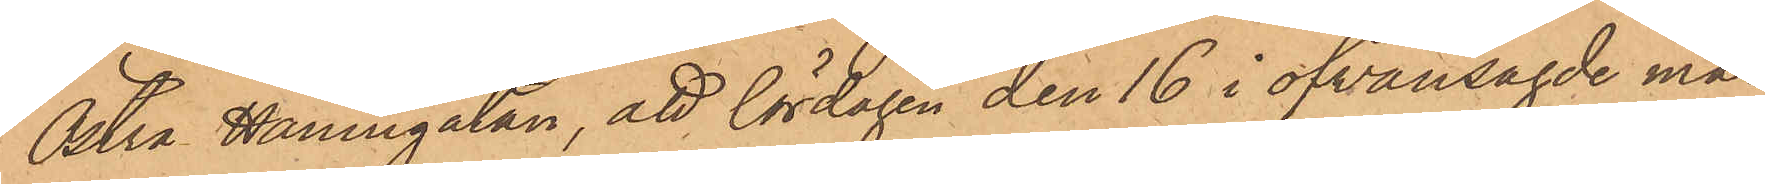Östra Hamngatan, att lördagen den 16 i ofvansagde må¬
